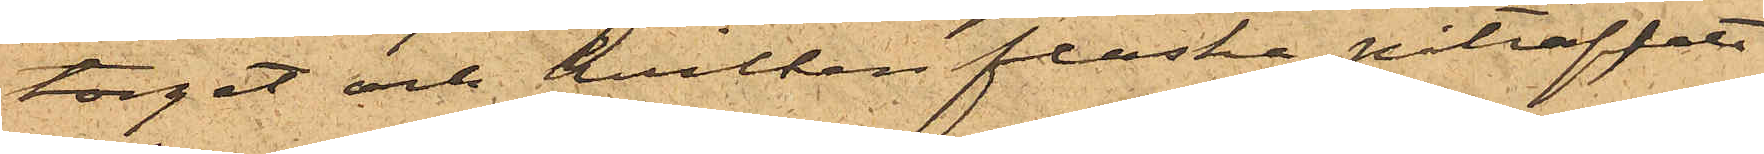torget och hvilken flaska påträffats
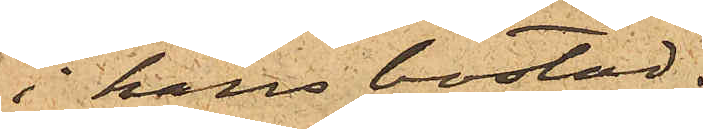i hans bostad.
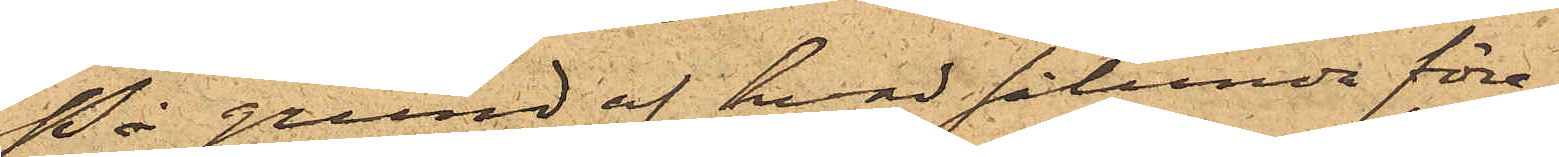På grund af hvad sålunda före¬
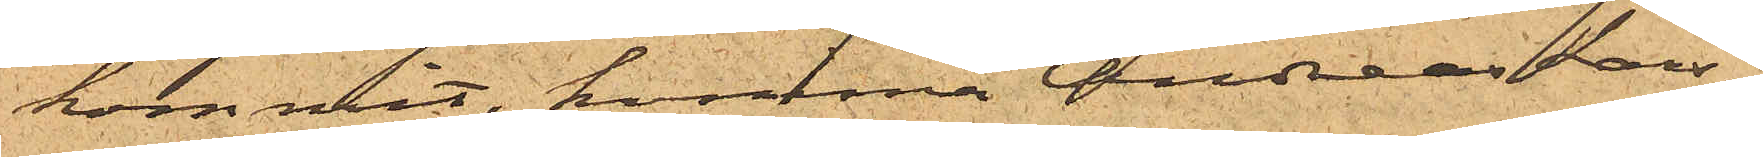kommit, kommer Andreas Lars¬
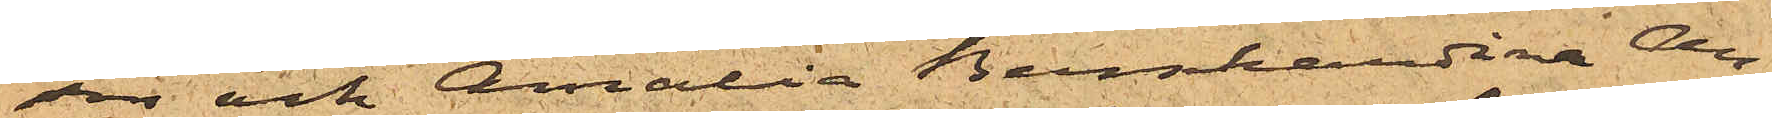son och Amalia Bernhardina An¬
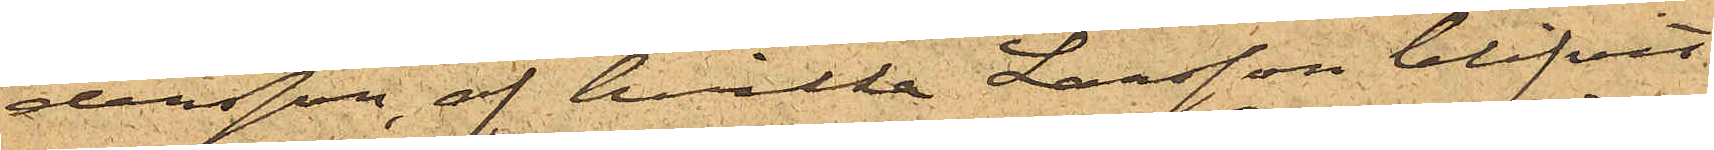dersson, af hvilka Larsson blifvit
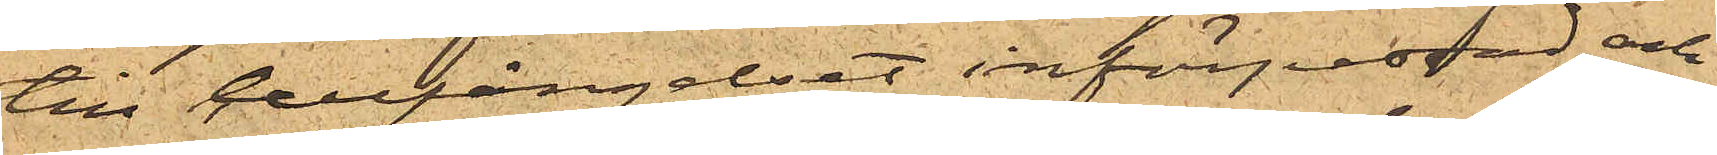till Cellfängelset införpassad och
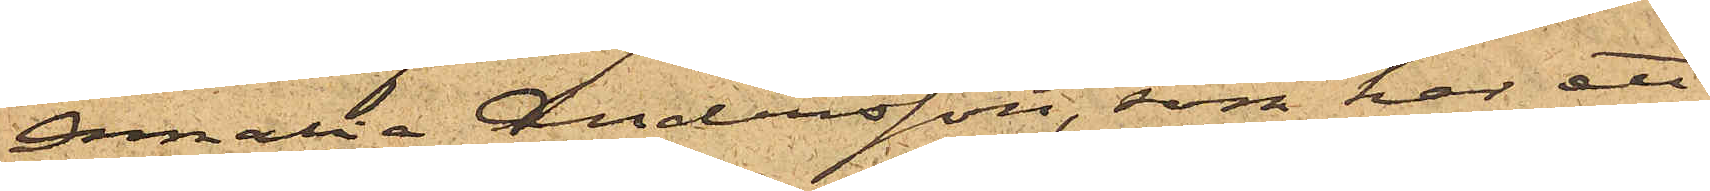Amalia Andersson, som har ett
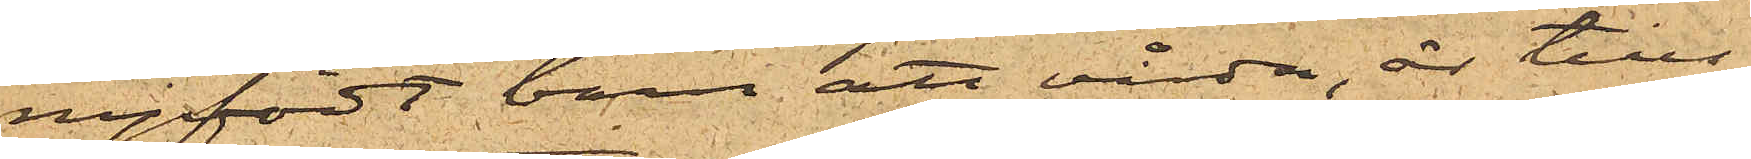nyfödt barn att vårda, är tills
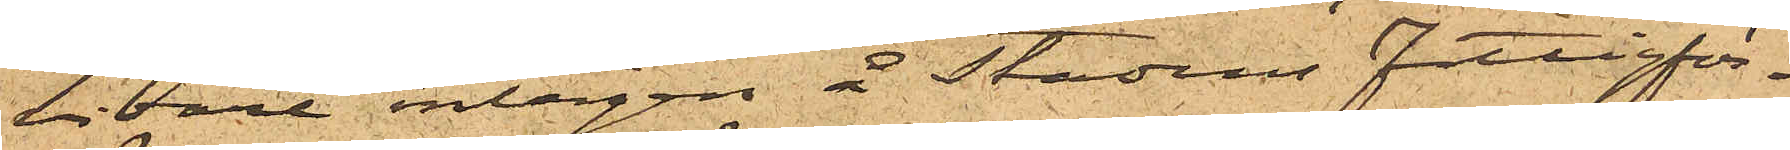vidare intagen å stadens fattigför¬
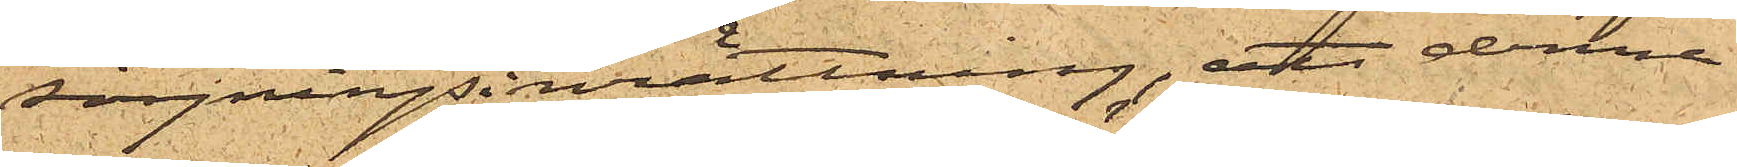sörjningsinrättning, att denna
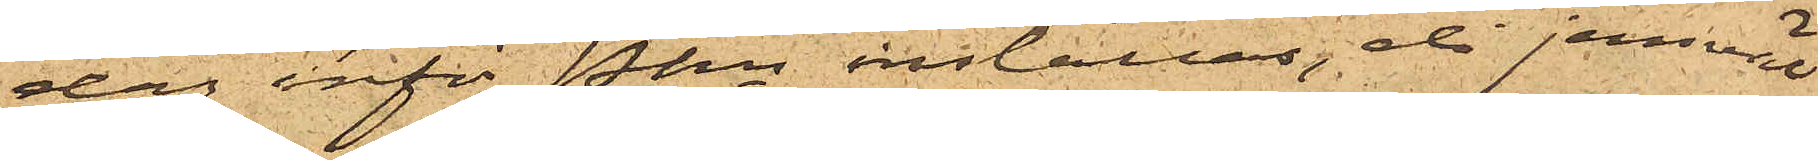dag inför Pkn inställas, då jemväl
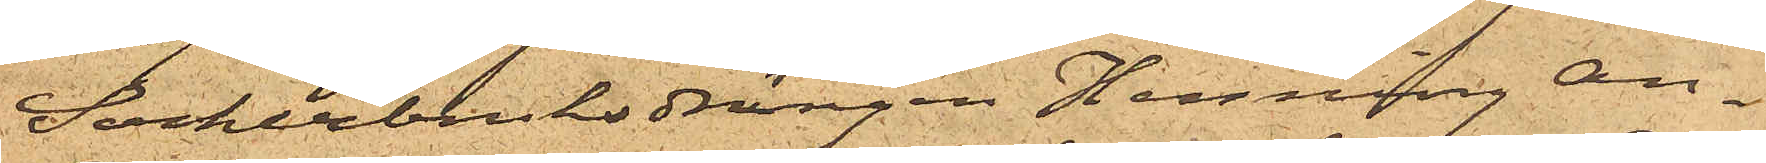Sockerbruksdrängen Henning An¬
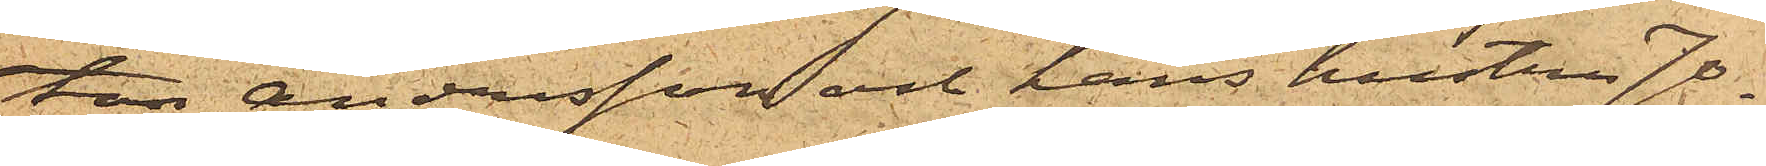ton Andersson och hans hustru Jo¬
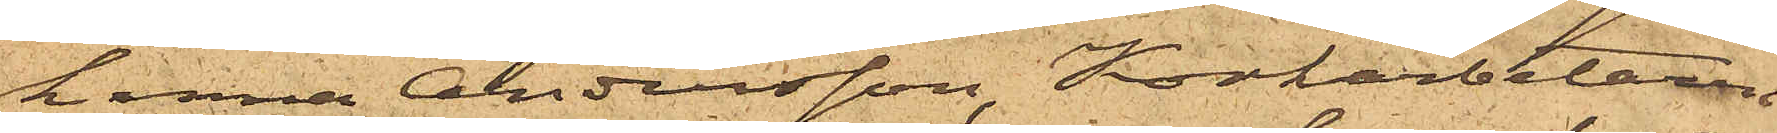hanna Andersson, Korkarbetaren
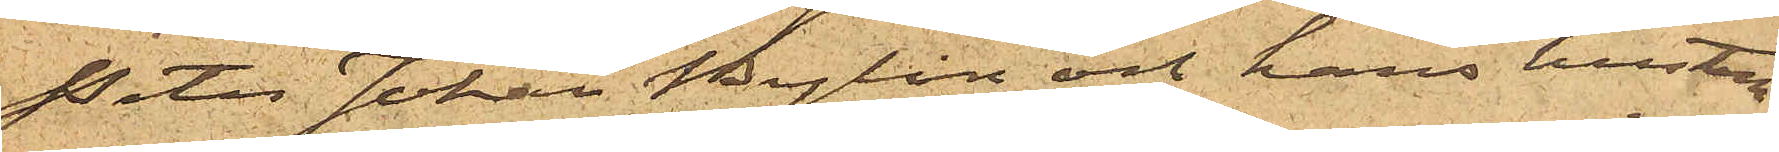Peter Johan Bylin och hans hustru
